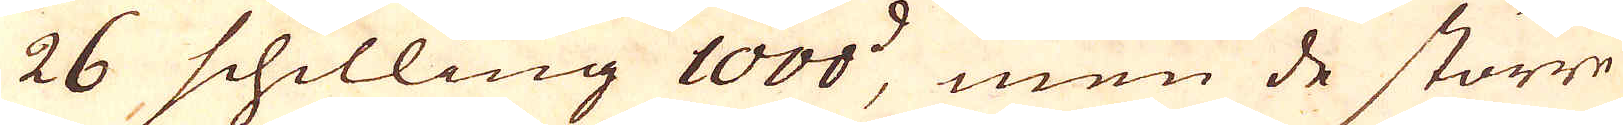26 schilling 1000:d, men de större
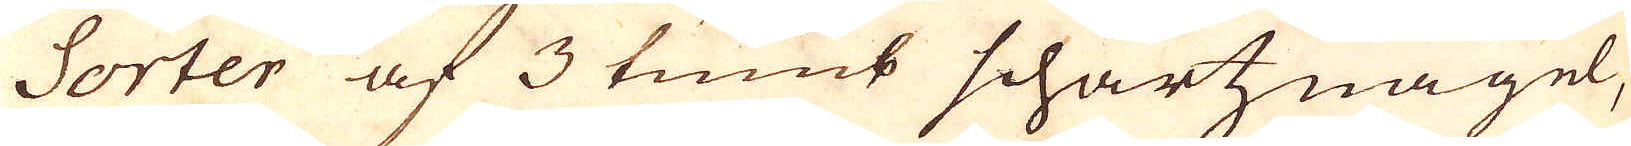Sorter af 3 tumb schartznagel,
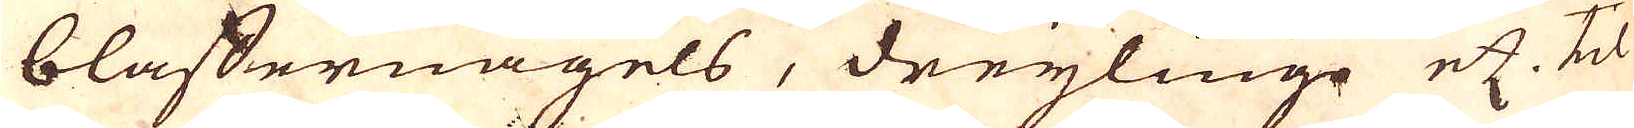blaffernagels, dreylinge etc. til
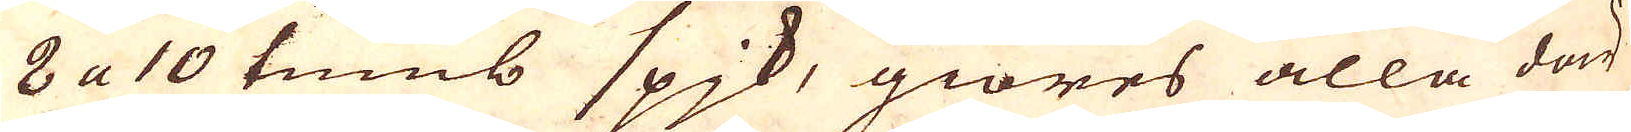8 a 10 tumb spjk, giöres alla där
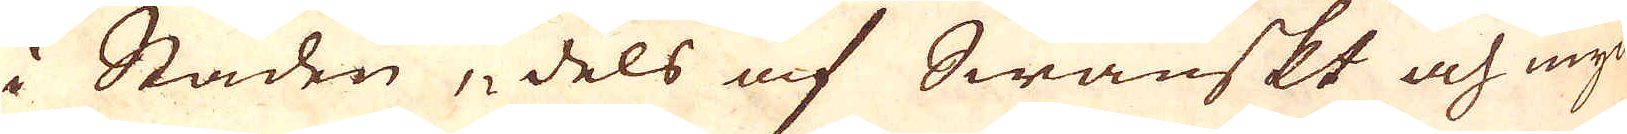i Staden, dels af Swänskt och myc-
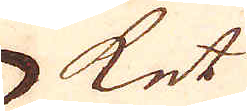ket
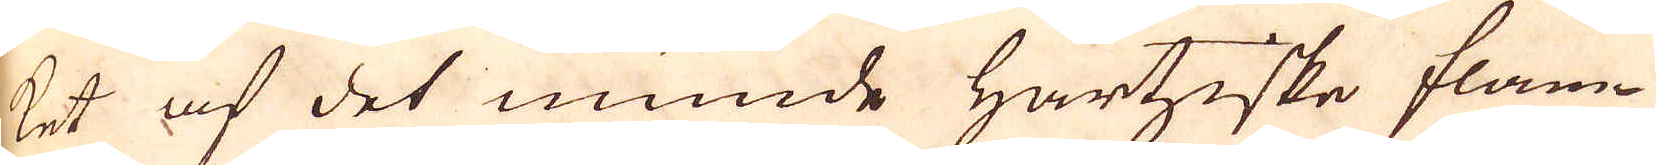ket af det munde Hartziske flam-
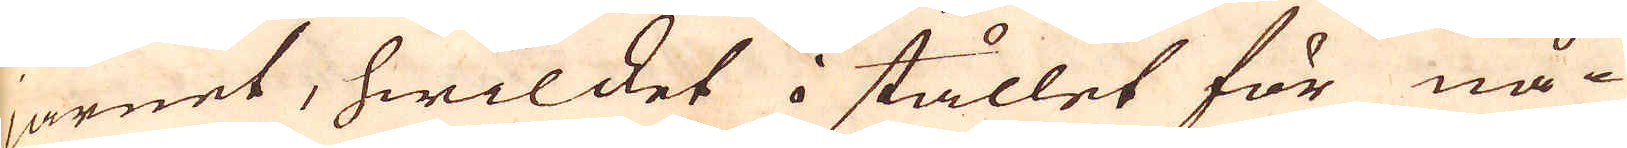järnet, hwilcket i stället för nå-
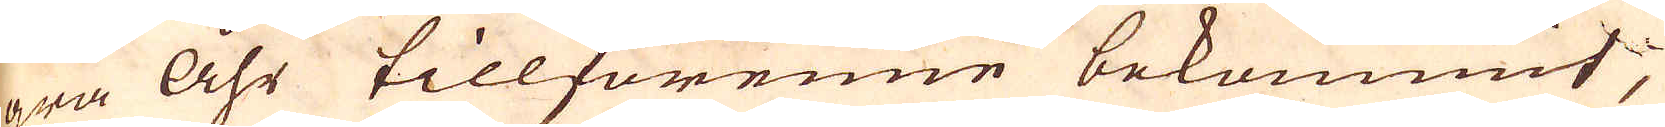gra Åhr tillförenne bekommit;
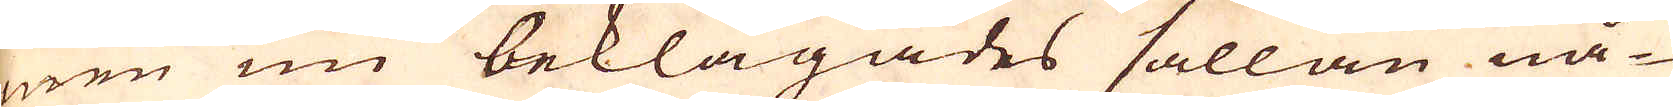men nu beklagades sällan nå-
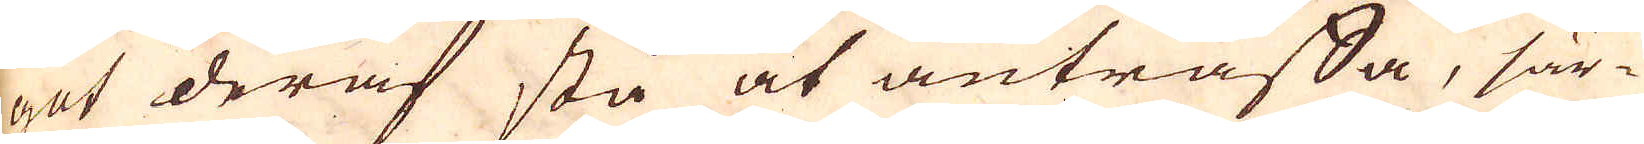got deraf stå at anträffa, sär-
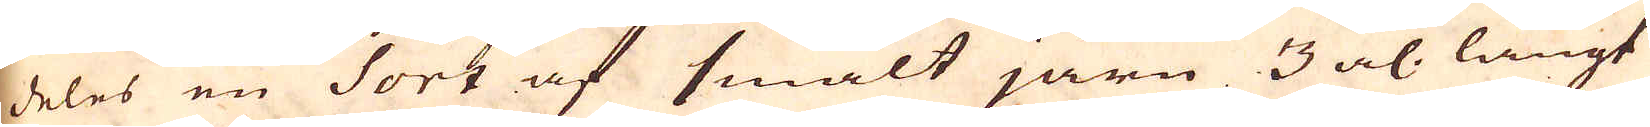deles en Sort af smalt järn 3 al. långt
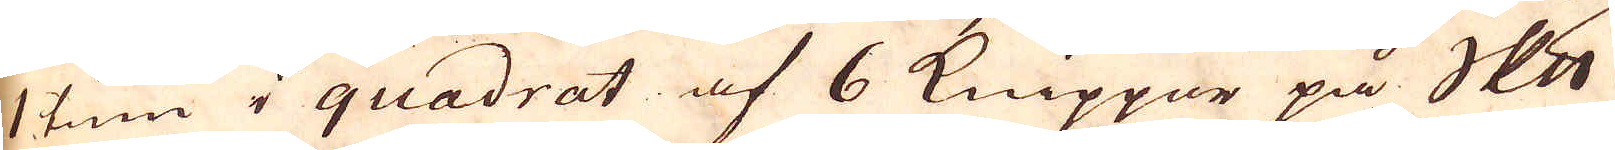1 tum i quadrat af 6 Knippor på skeppundet
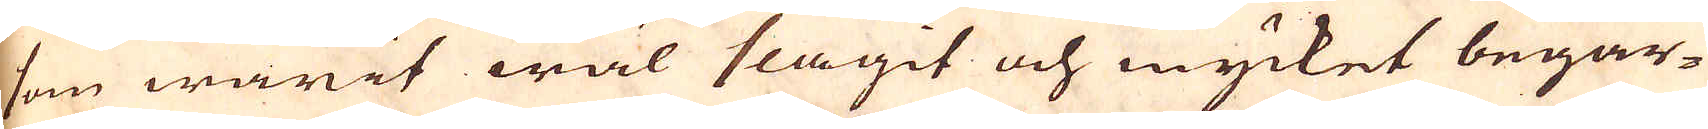som warit wäl slagit och mycket begär-
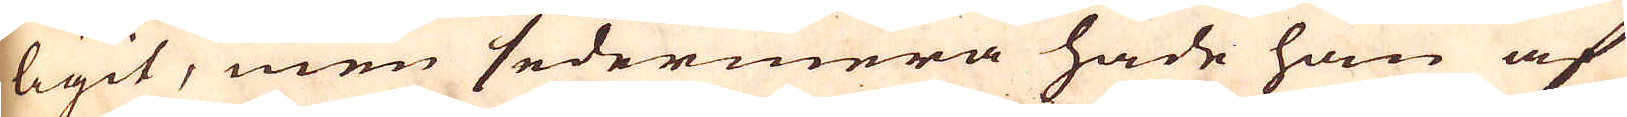ligit, men sedermera hade hon af
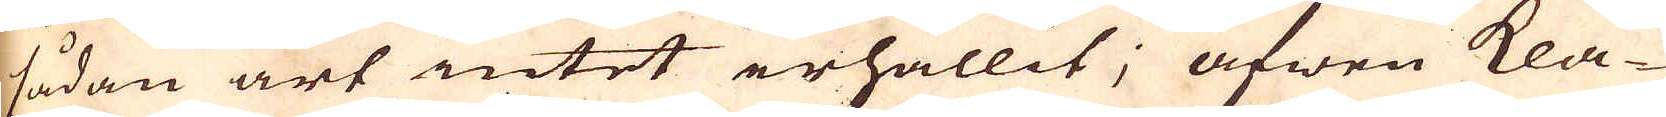sådan art intet erhållit; äfwen kla-
